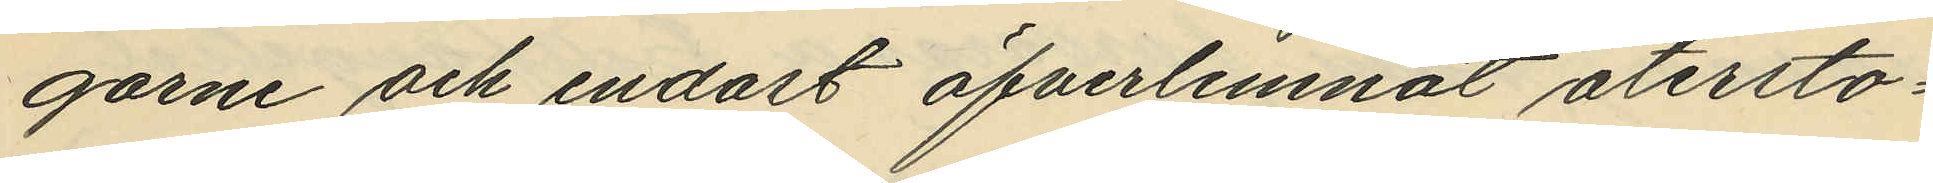garne och endast öfverlemnat återsto¬
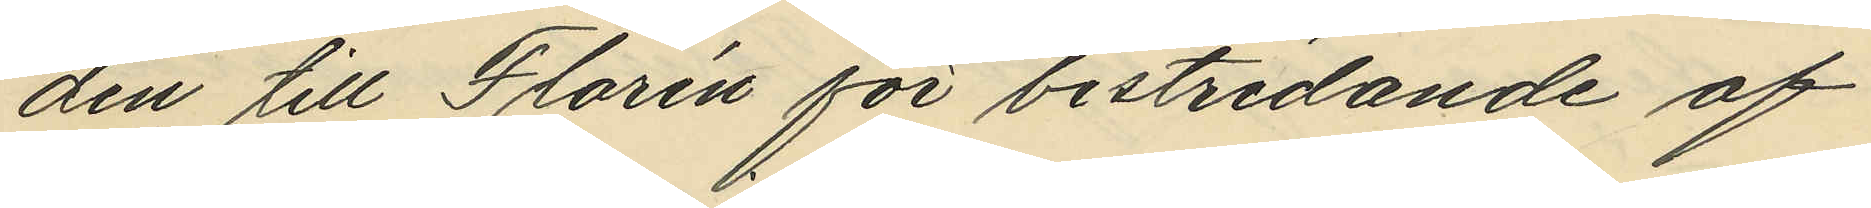den till Florén för bestridande af
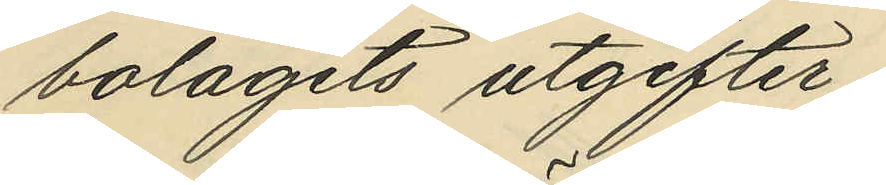bolagets utgifter;
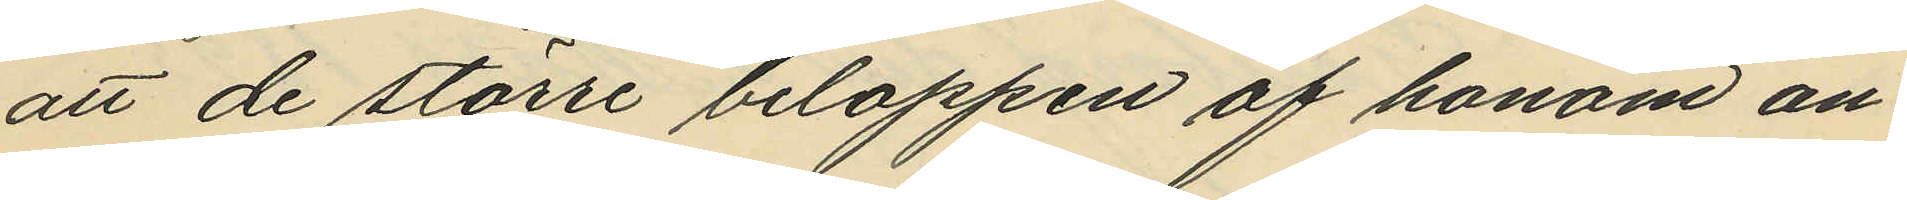att de större beloppen af honom an¬
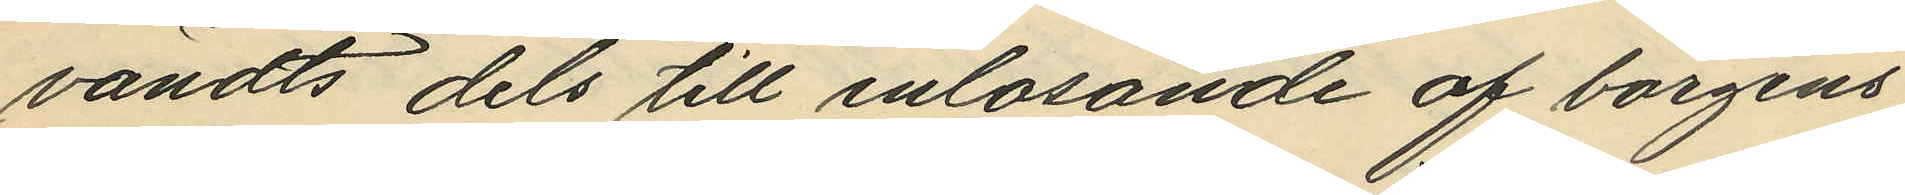vändts dels till inlösande af borgens¬
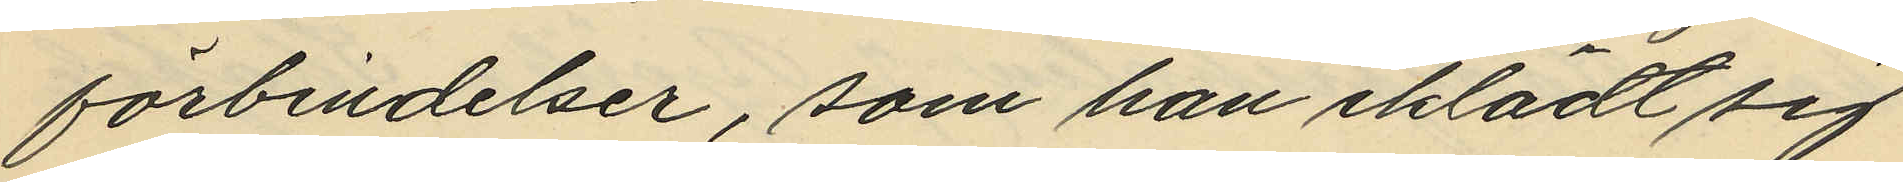förbindelser, som han iklädt sig
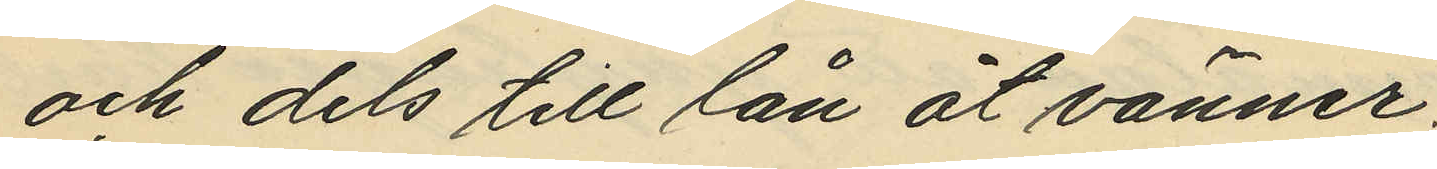och dels till lån åt vänner;
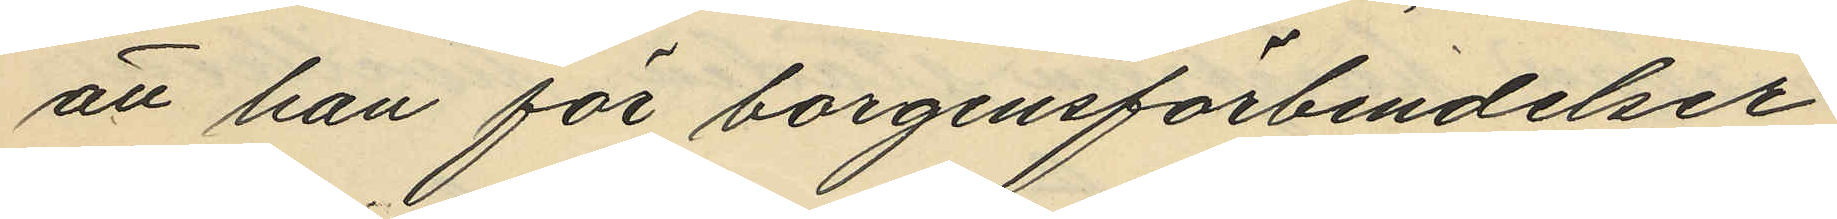att han för borgensförbindelser
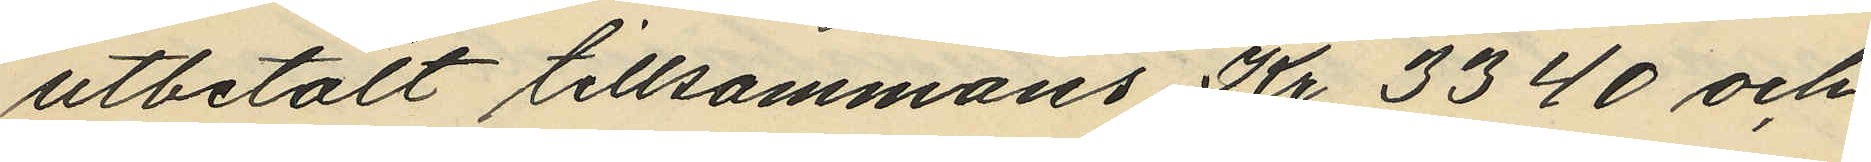utbetalt tillsammans Kr 3340 och
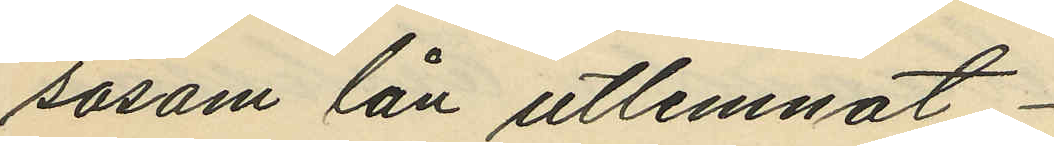såsom lån utlemnat
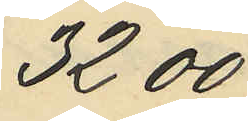3200
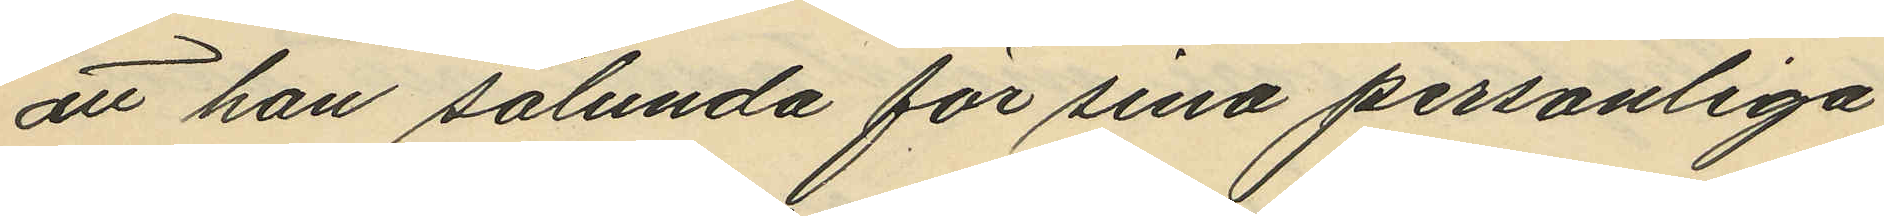att han sålunda för sina personliga
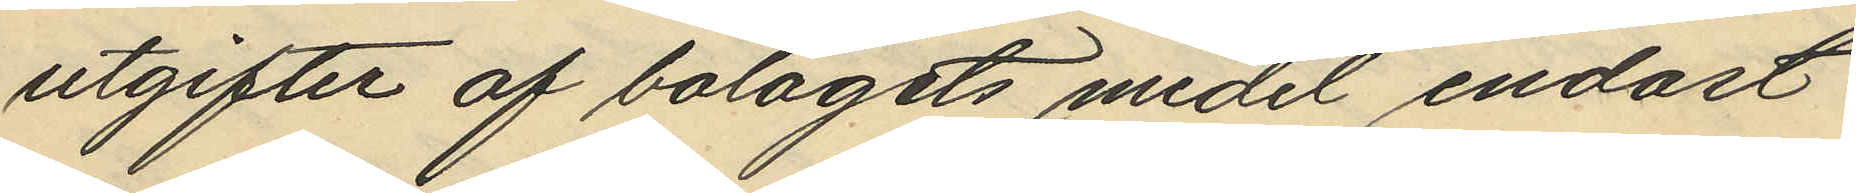utgifter af bolagets medel endast
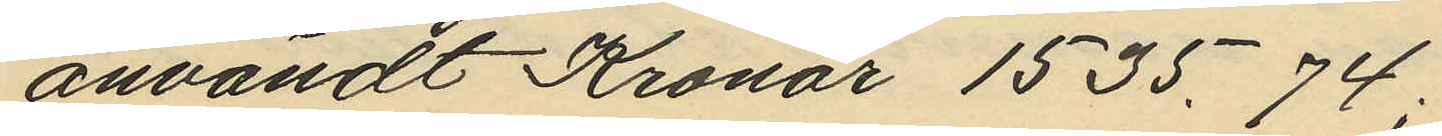användt Kronor 1535,74;
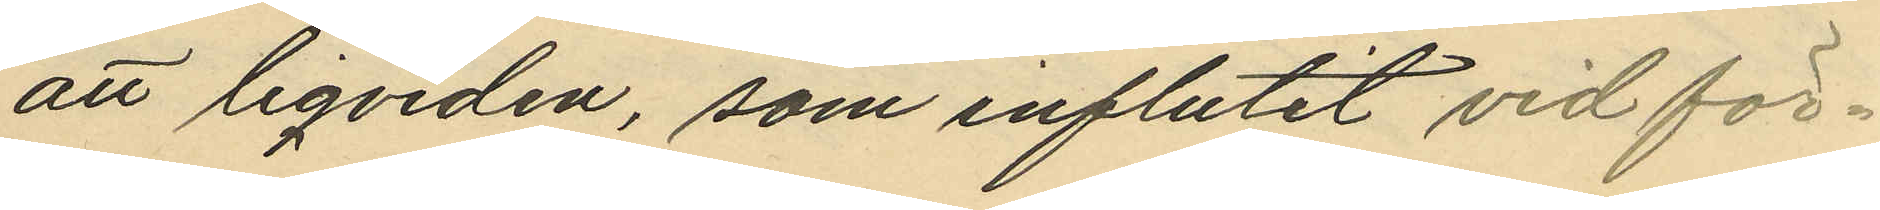att liqviden, som influtit vid för¬
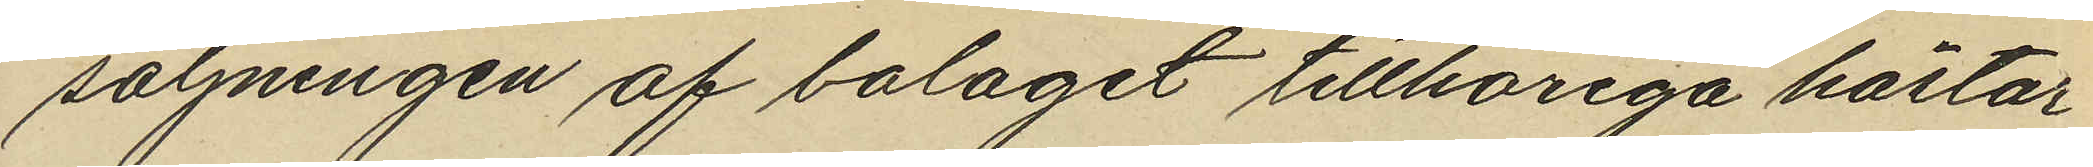säljningen af bolaget tillhöriga hästar
